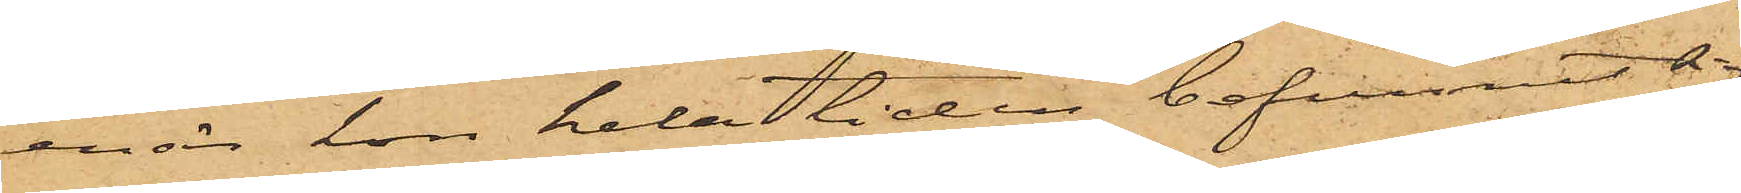enär hon hela tiden befunnit sig
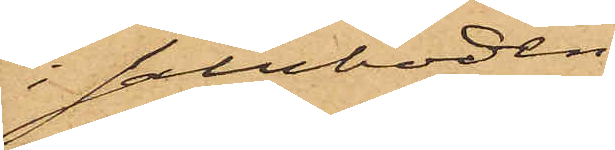i saluboden.
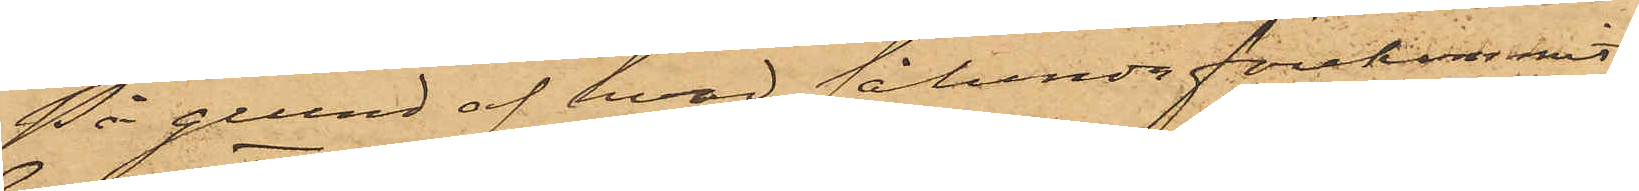På grund af hvad sålunda förekommit
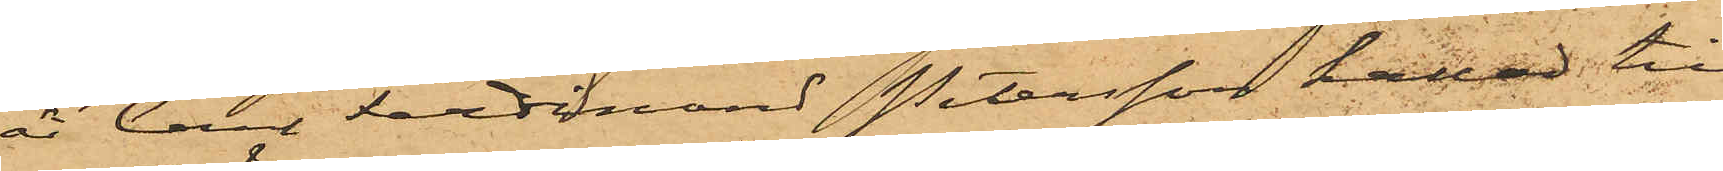är Carl Ferdinand Petersson kallad till
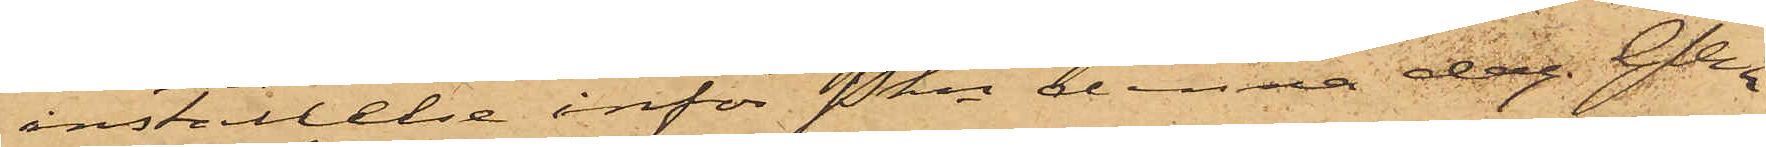inställelse inför Pkn denna dag. Gbg
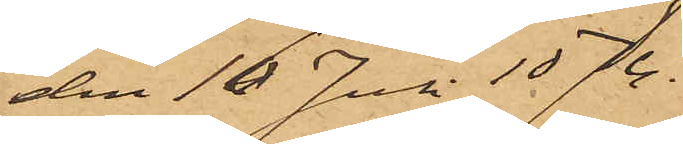den 16 Juli 1874.
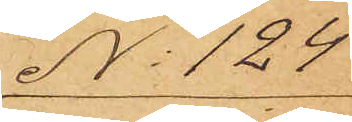No 124
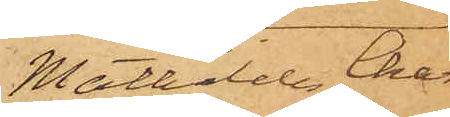Mathilda Char¬
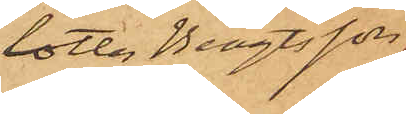lotta Bengtsson.
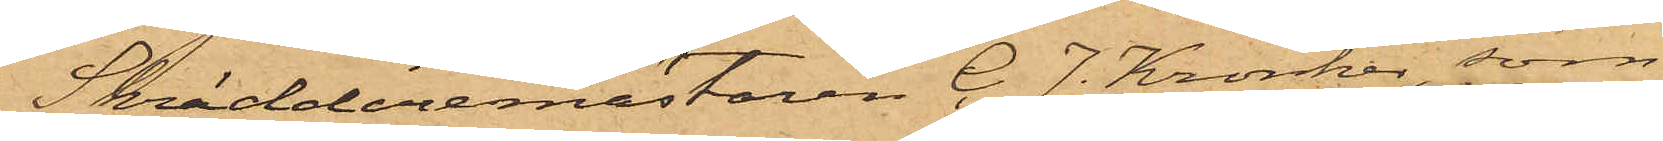Skräddaremästaren C. J. Kronker, som
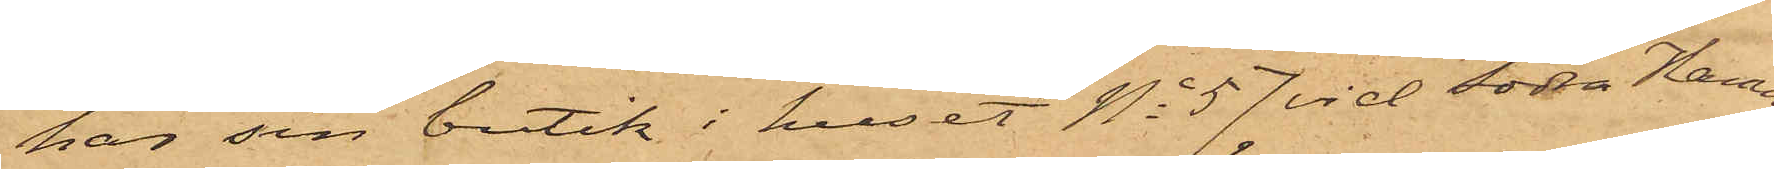har sin butik i huset No 57 vid Södra Hamn¬
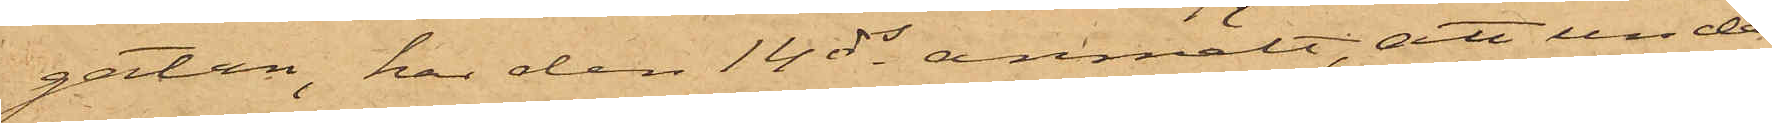gatan, har den 14 ds anmält, att under
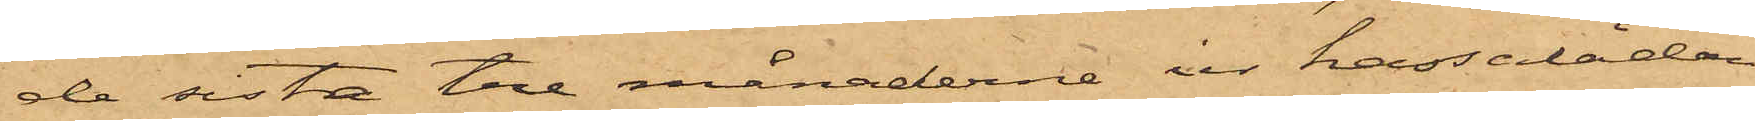de sista tre månaderne ur kassalådan
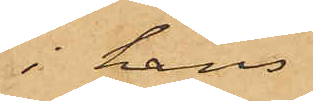i hans
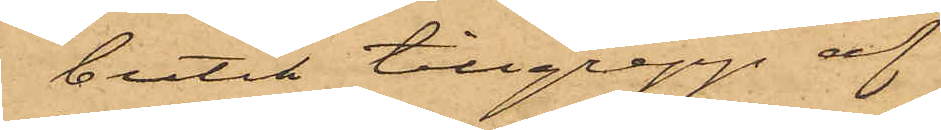butik tillgrepp af
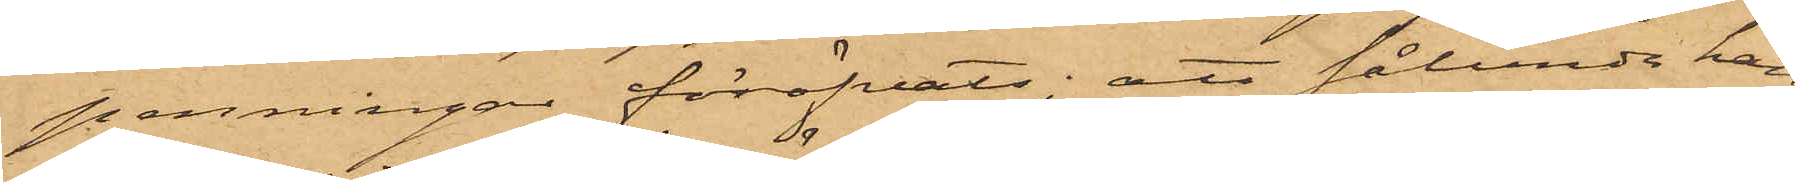penningar föröfvats; att sålunda han
